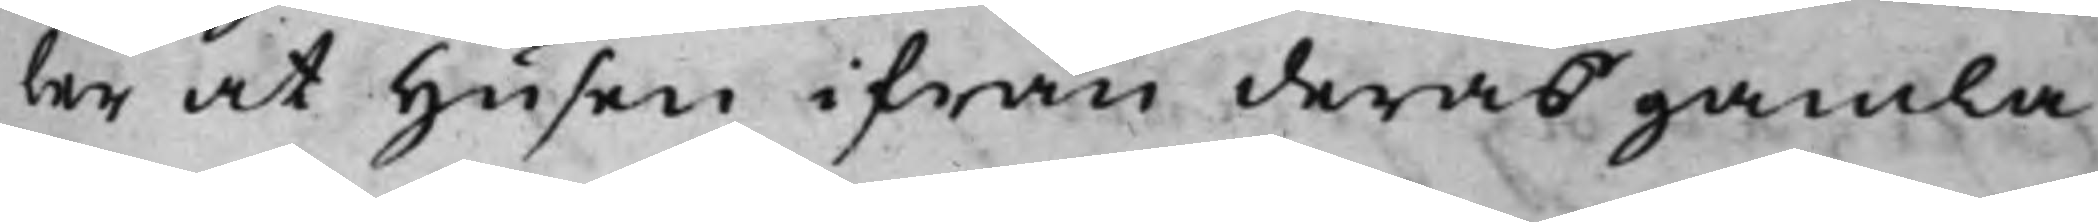ler at Husen ifrån deras gamla
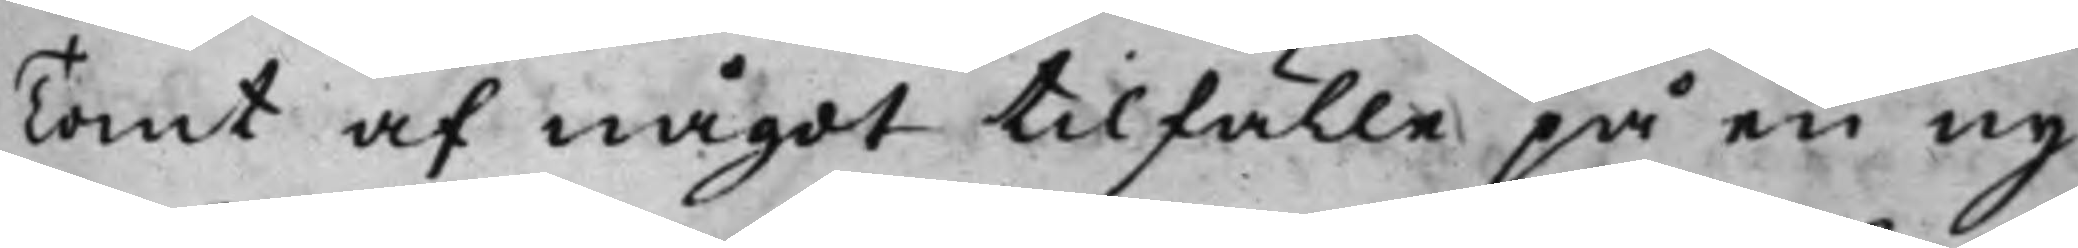Tomt af något tillfälle på en ny
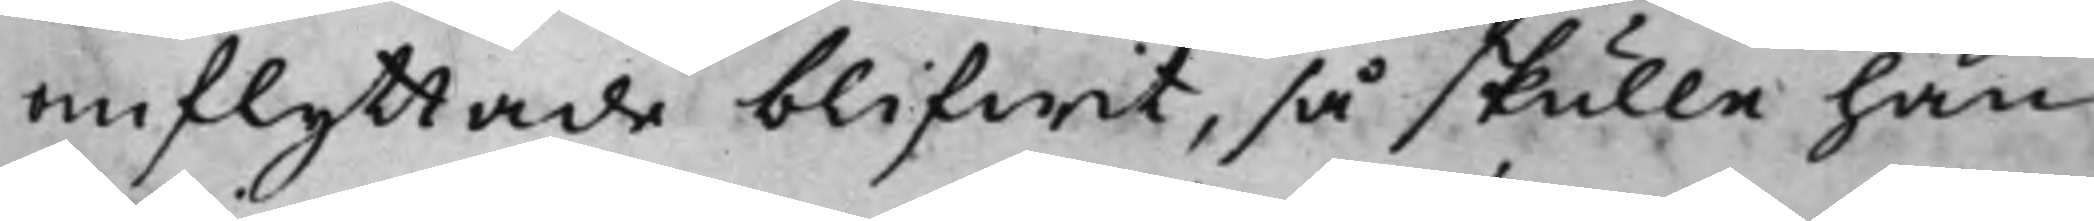omflyttade blifwit, så skulle han
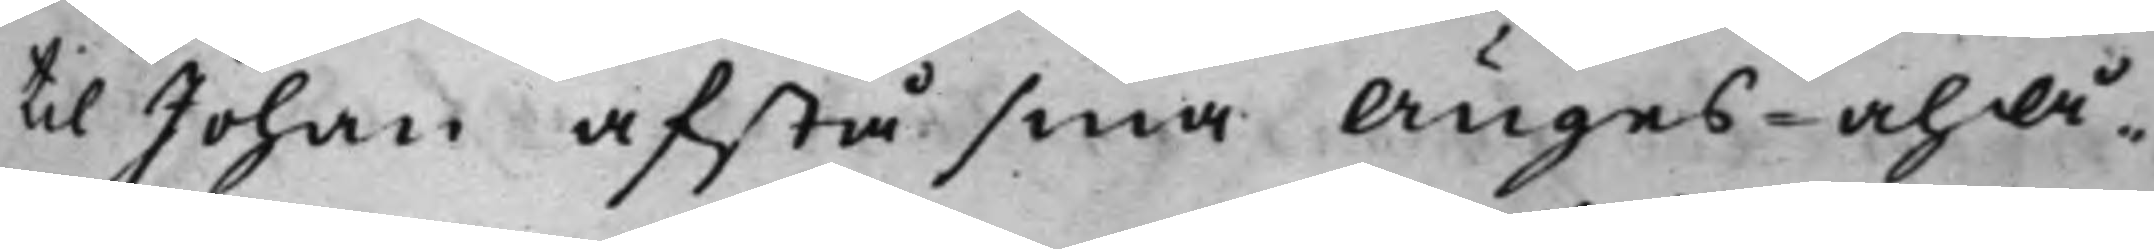till Johan afstå sina Änges- och Å¬
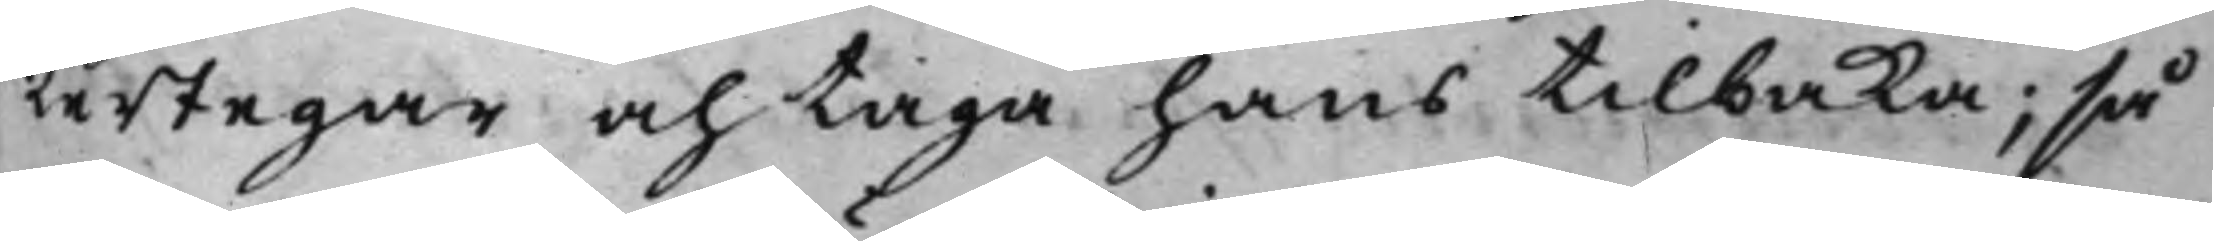kertegar och taga hans tilbaka; så
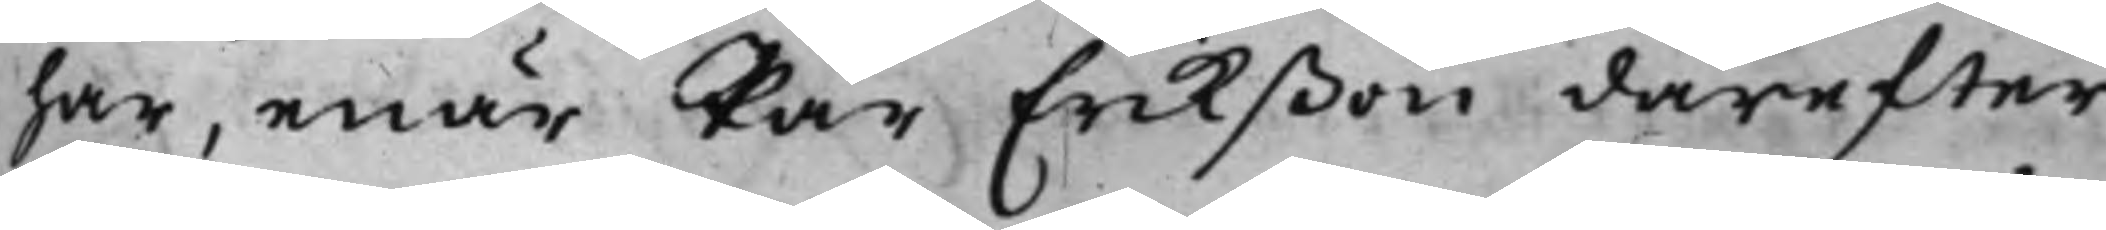har, enär Pär Erikßon därefter
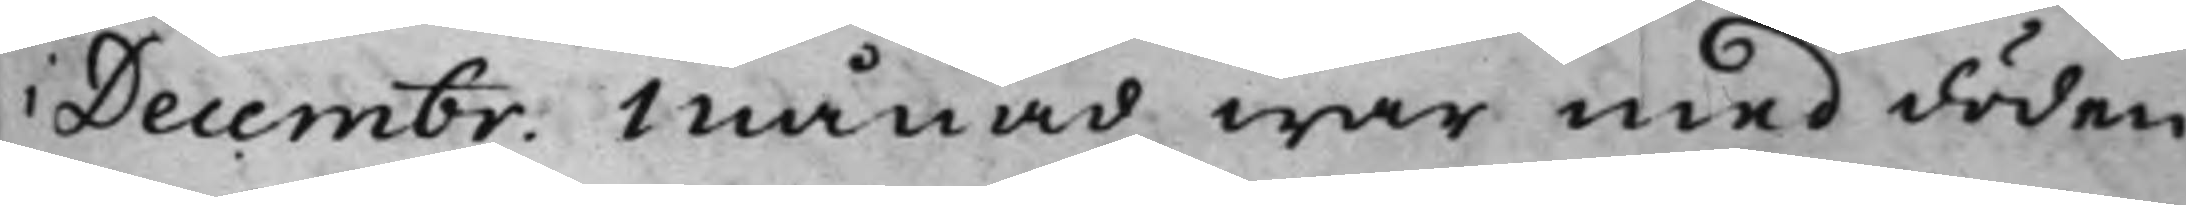i Decembr: Månad war med döden
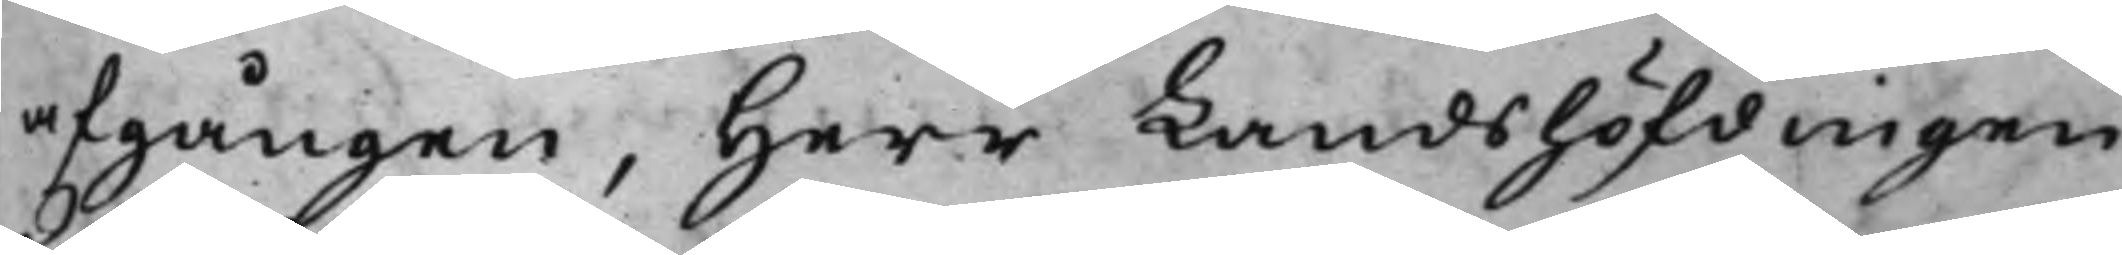afgången, Herr Landshöfdingen
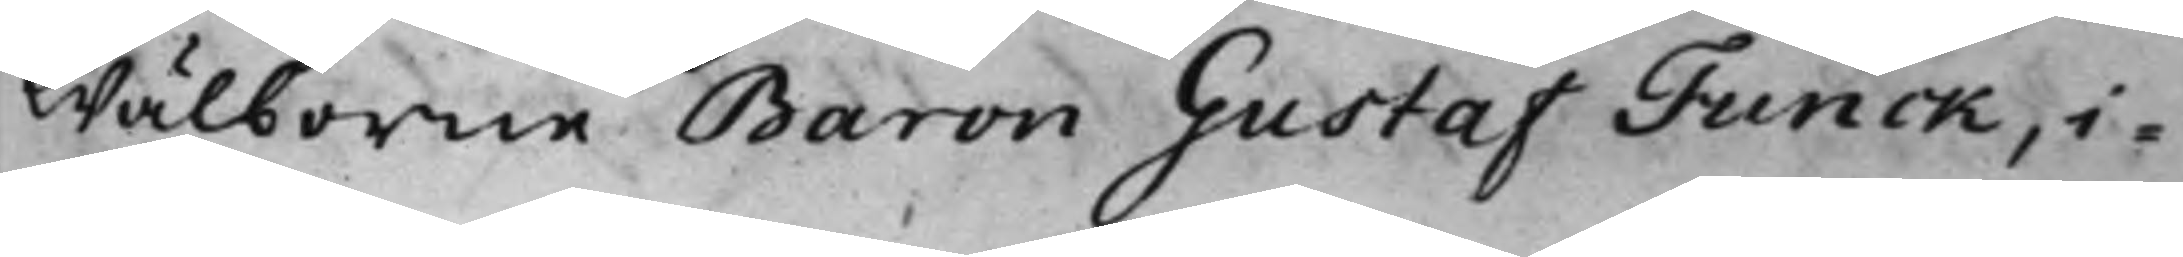Wälborne Baron Gustaf Funck, i
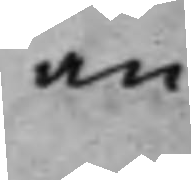an¬
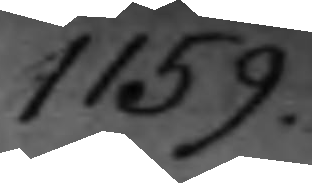1159.
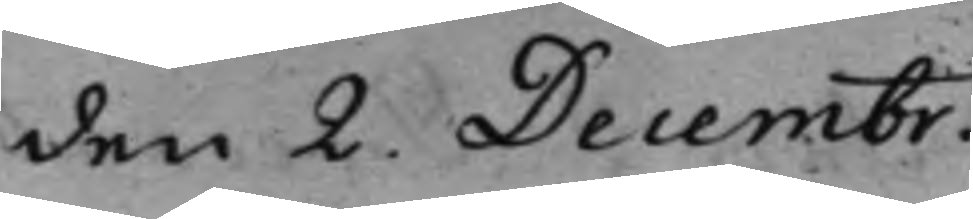den 2. Decembr.
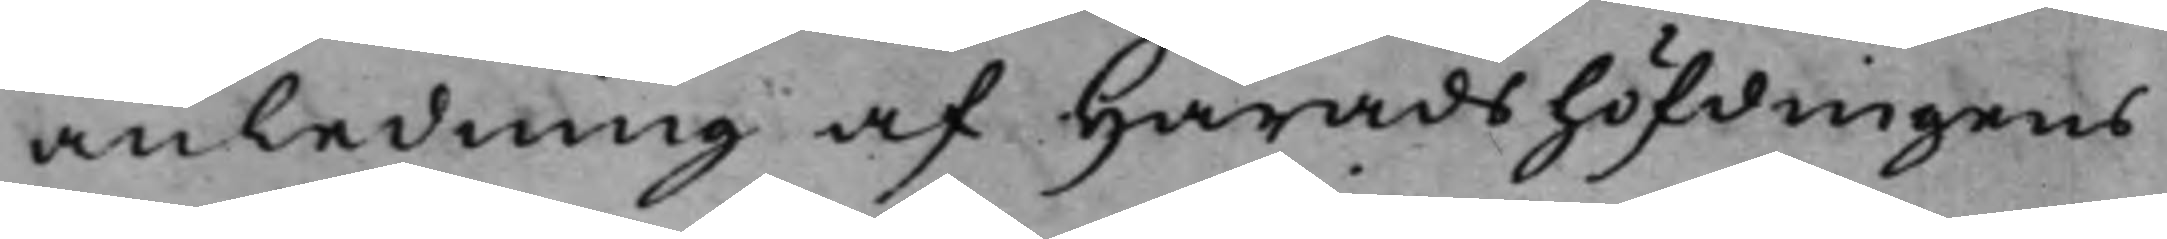anledning af Häradshöfdingens
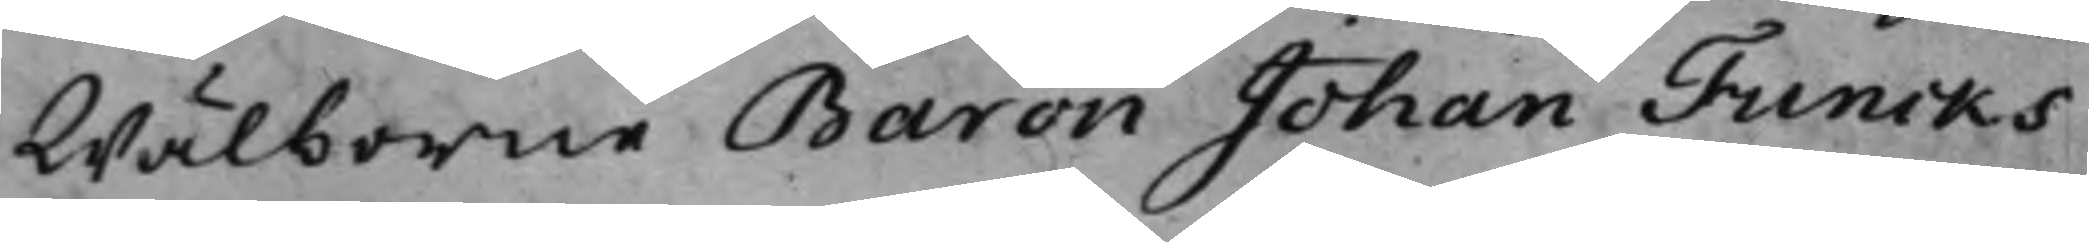Wälborne Baron Johan Funcks
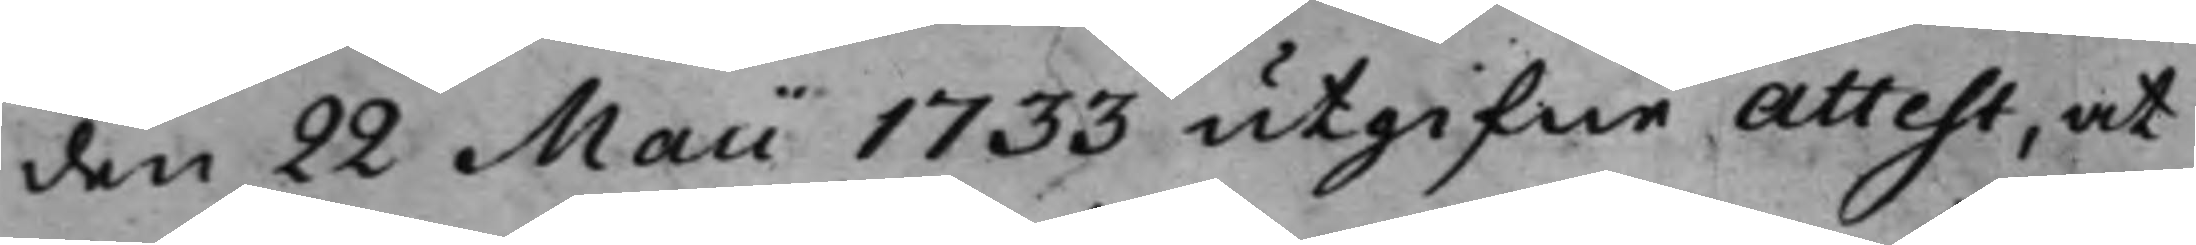den 22 Maii 1733 utgifne Attest, at
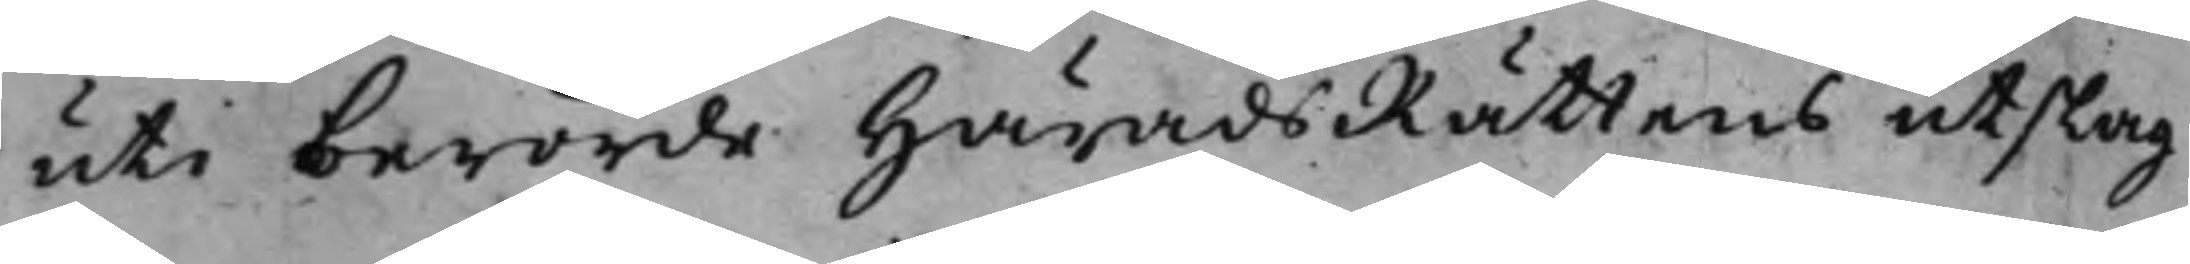uti berörde HäradsRättens utslag
